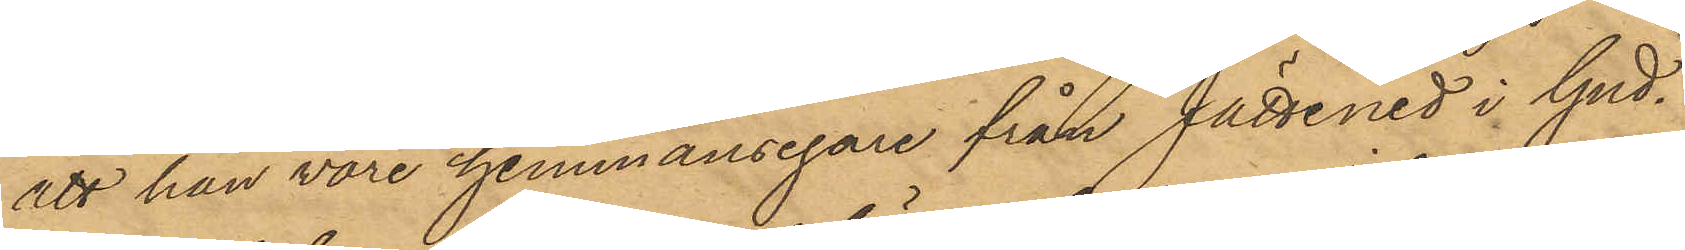att han vore hemmansegare från Jettened i Gud¬
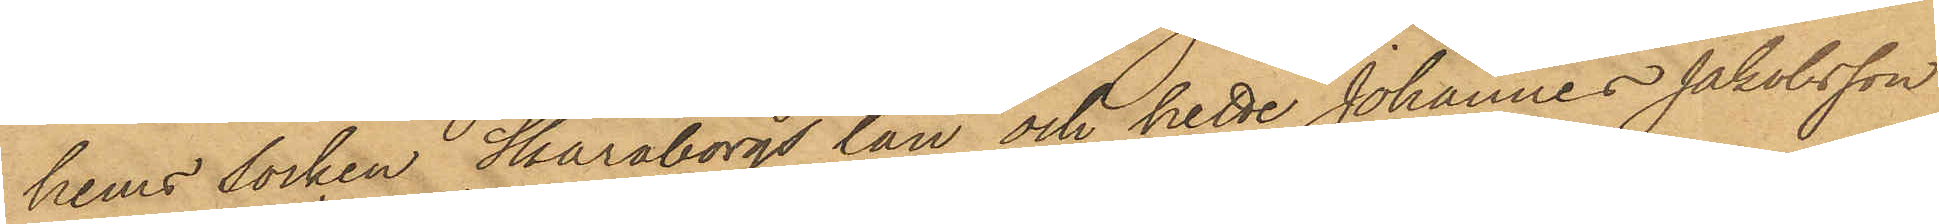hems socken Skaraborgs län och hette Johannes Jakobsson
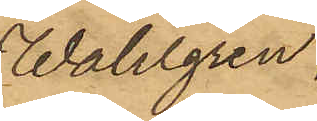Wahlgren;
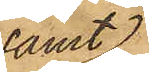samt
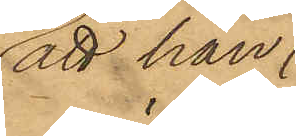att han
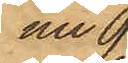nu 
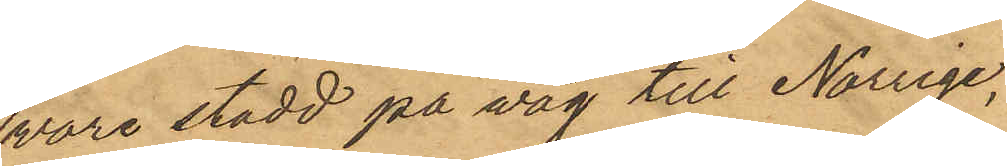vore stadd på väg till Norige,
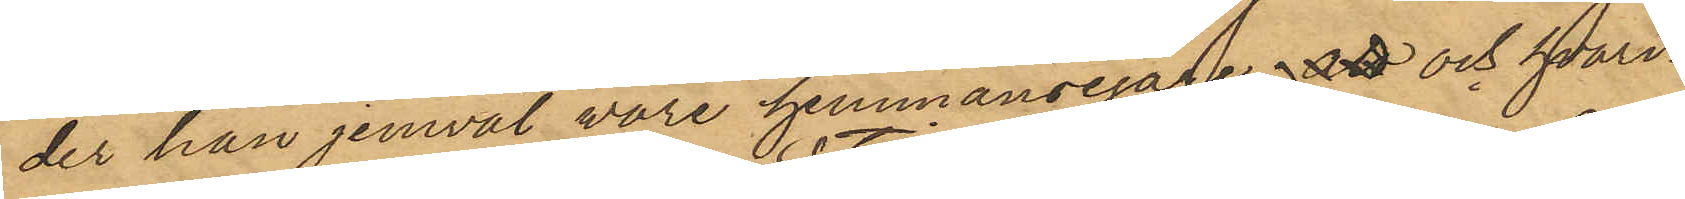der han jemväl vore hemmansegare,  att och hvari¬
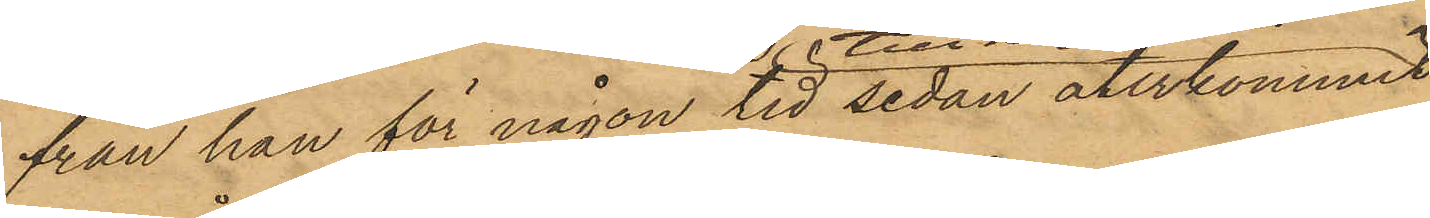från han för någon tid sedan återkommit
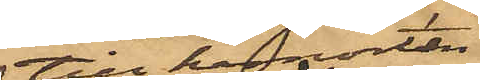till hemorten.
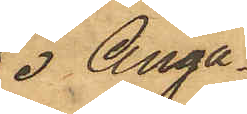Angå¬
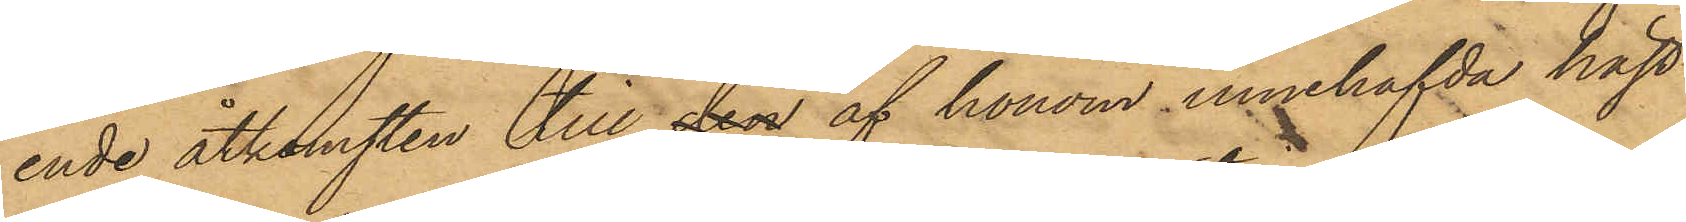ende åtkomsten till den af honom innehafda häst
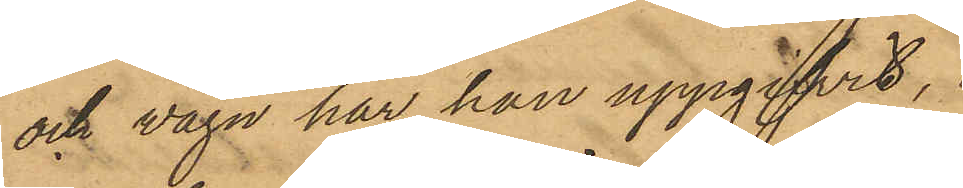och vagn har han uppgifvit,
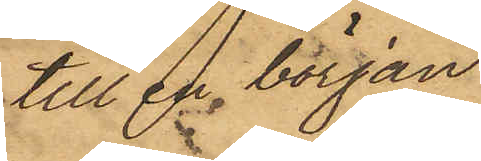till en början
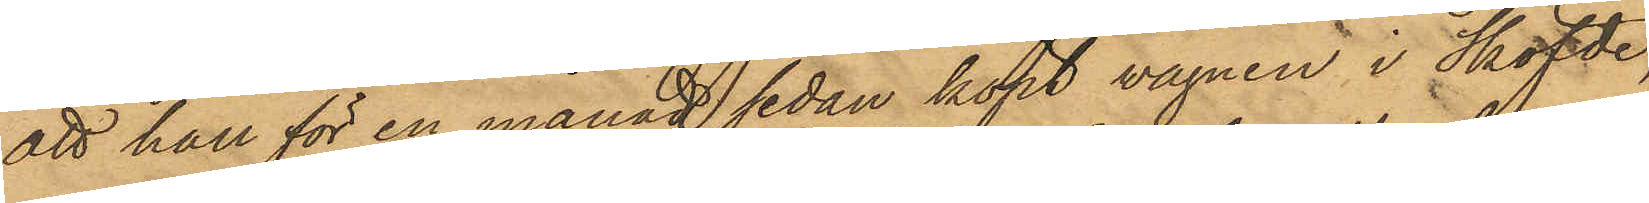att han för en månad sedan köpt vagnen i Sköfde,
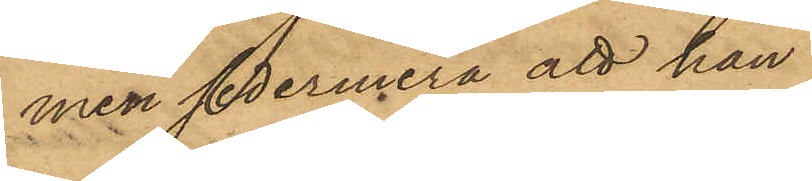men sedermera att han
